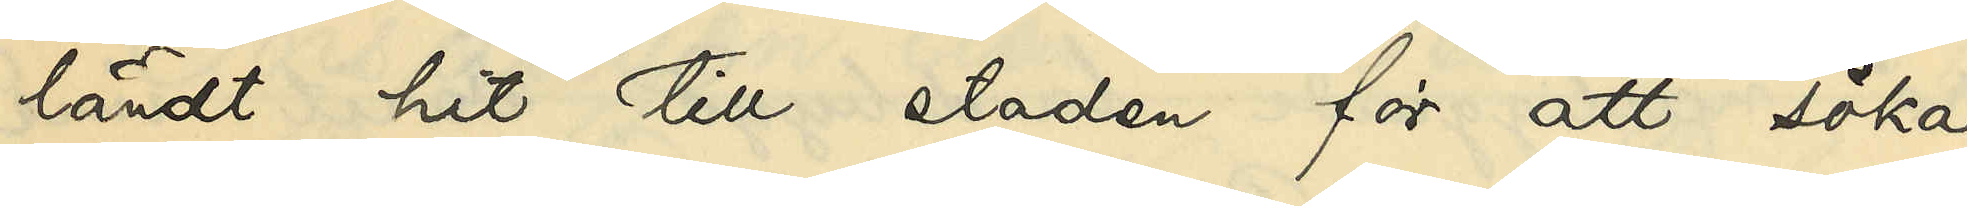ländt hit till staden för att söka
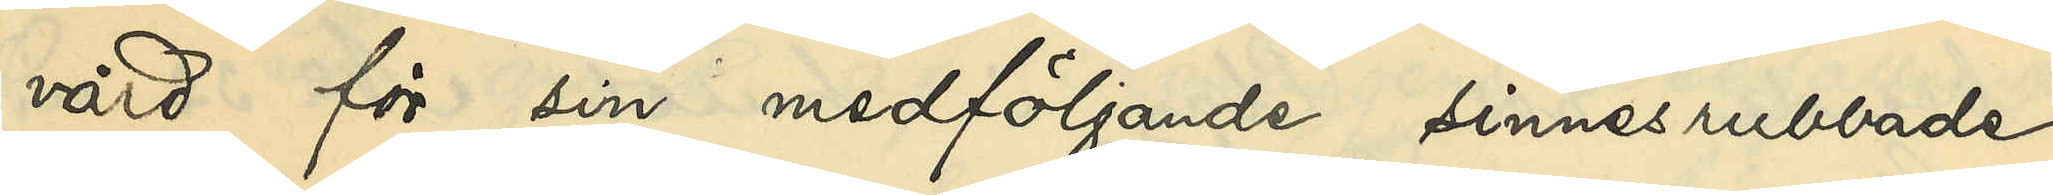vård för sin medföljande sinnesrubbade
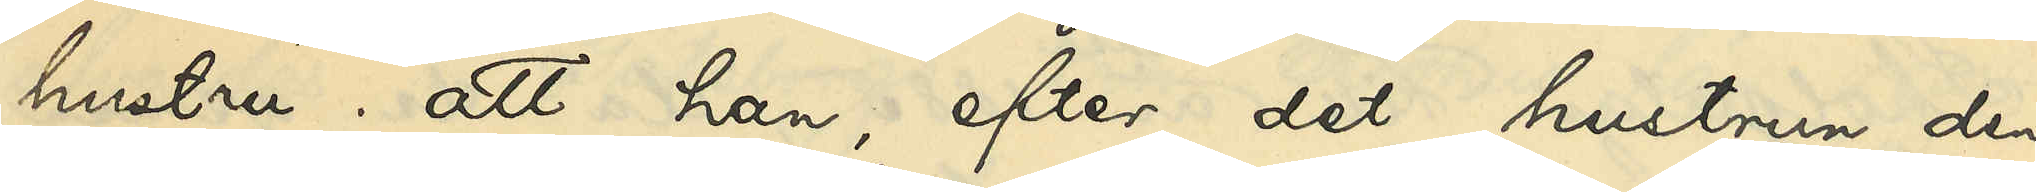hustru, att han, efter det hustrun den
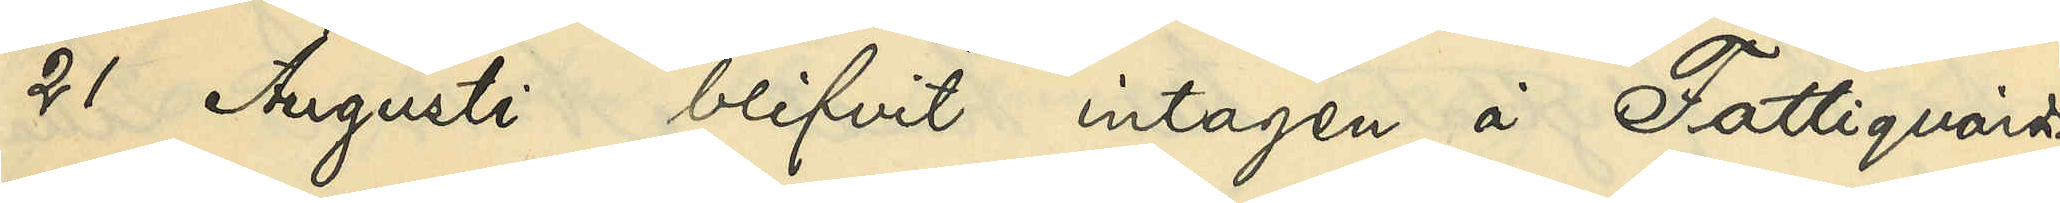21 Augusti blifvit intagen å Fattigvårds¬
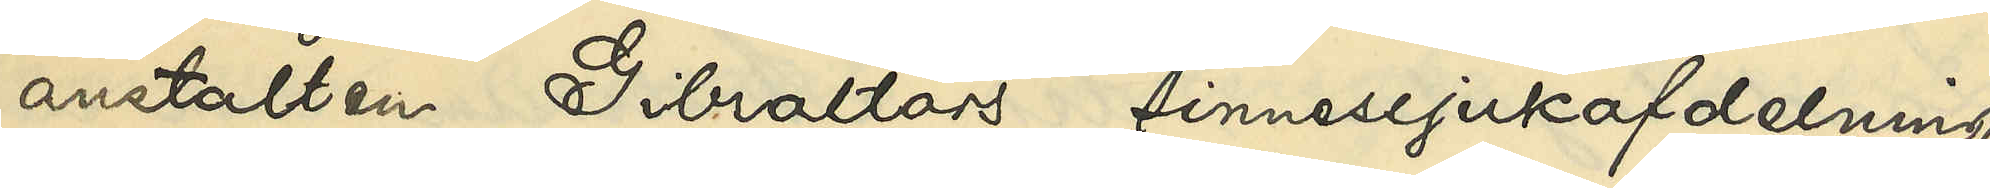anstalten Gibraltars sinnessjukafdelning,
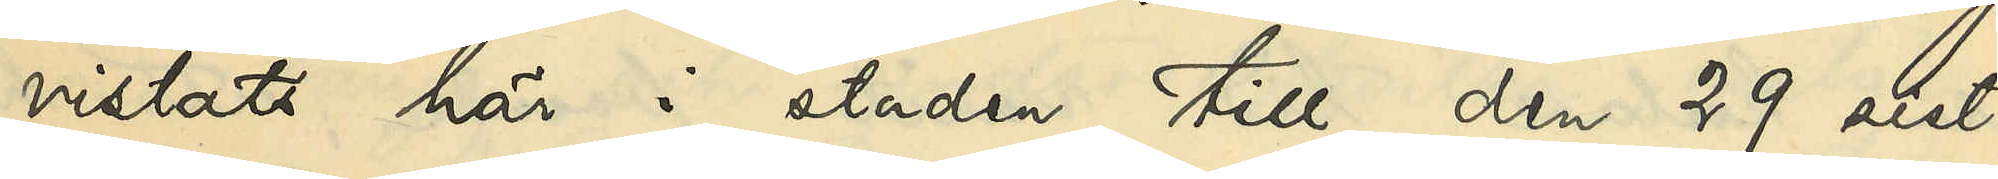vistats här i staden till den 29 sist¬
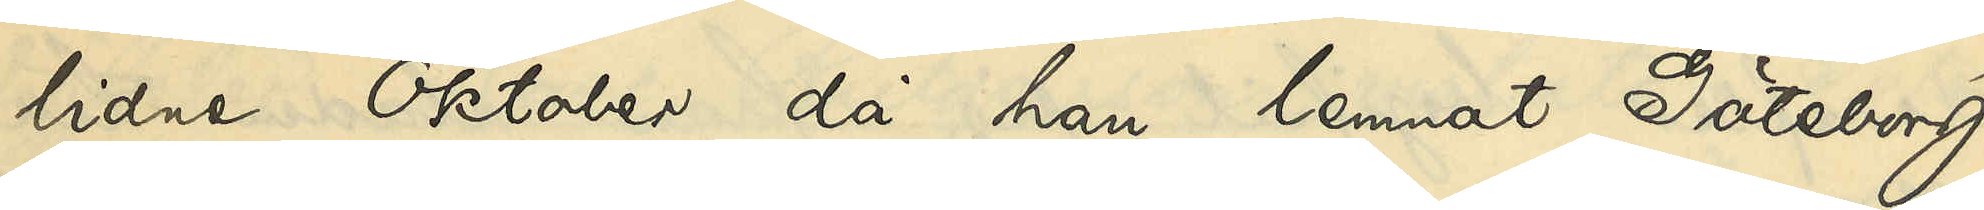lidne Oktober, då han lemnat Göteborg
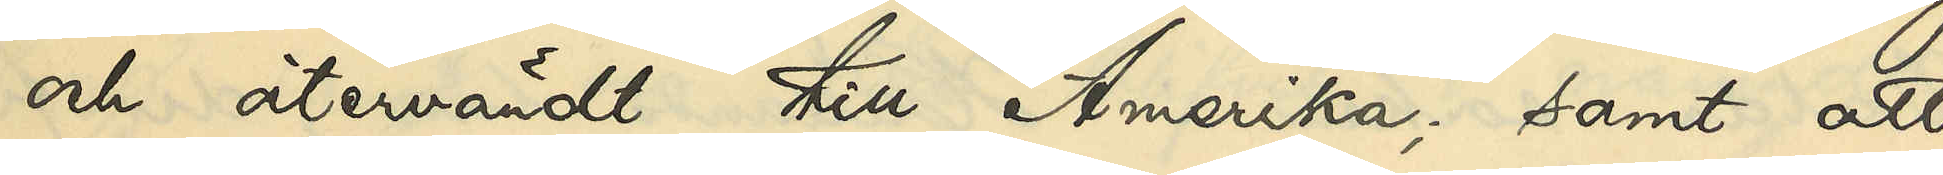och återvändt till Amerika; samt att
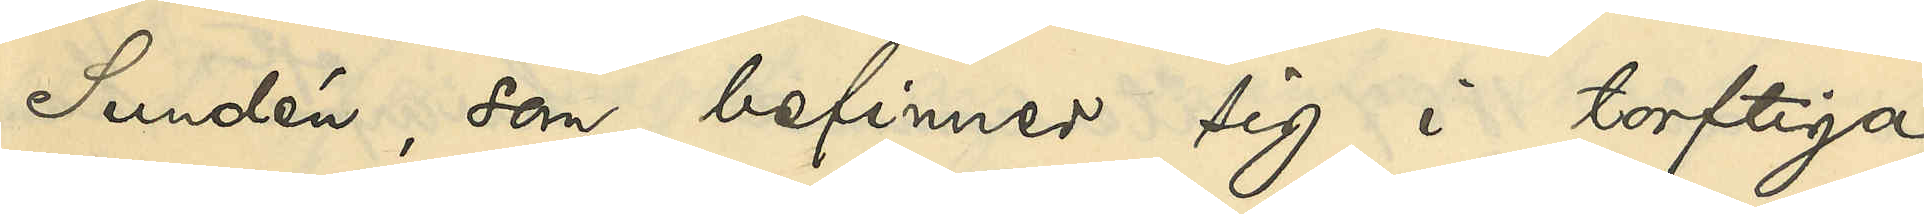Sundén, som befinner sig i torftiga
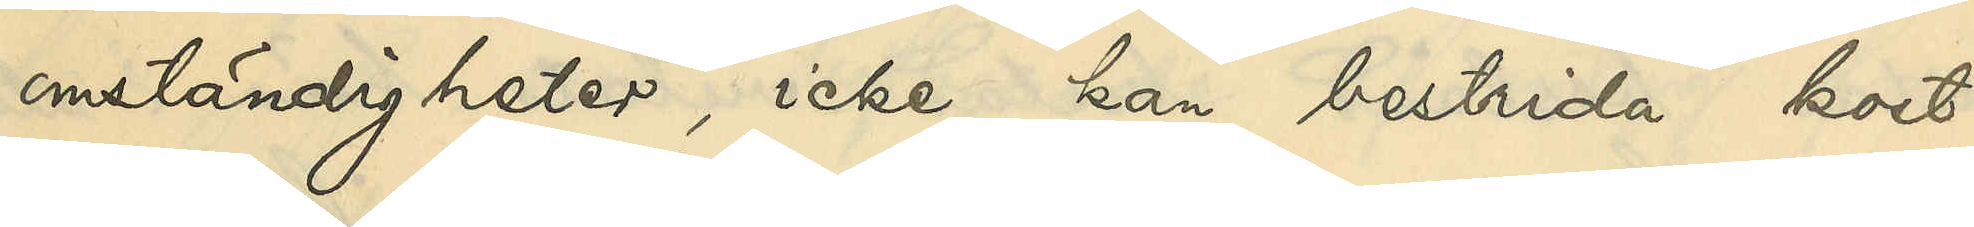omständigheter, icke kan bestrida kost¬
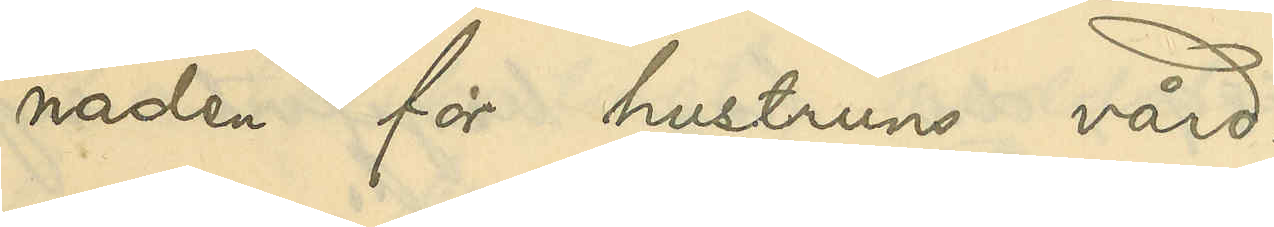naden för hustruns vård.
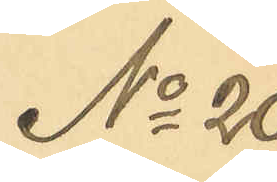No 20
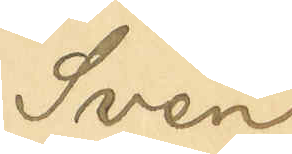Sven
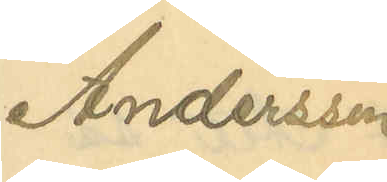Andersson.
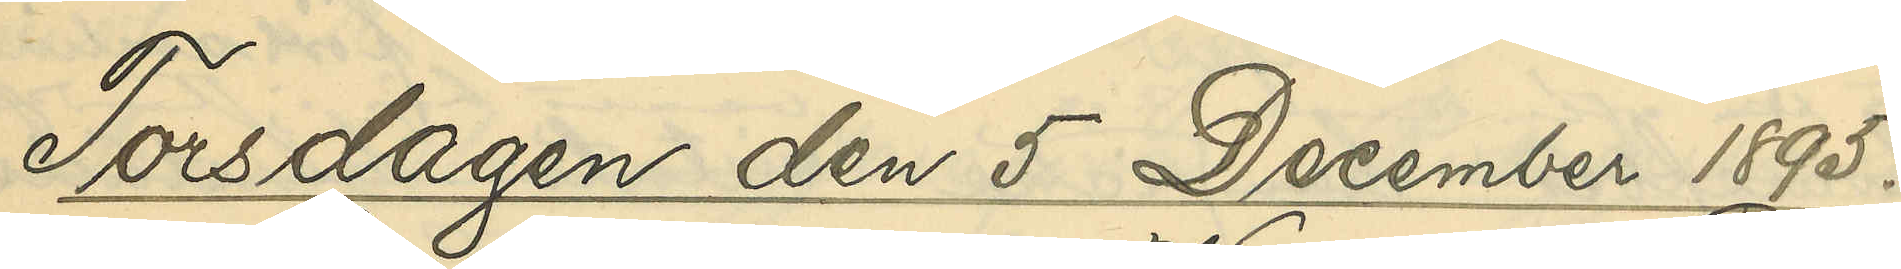Torsdagen den 5 December 1895.
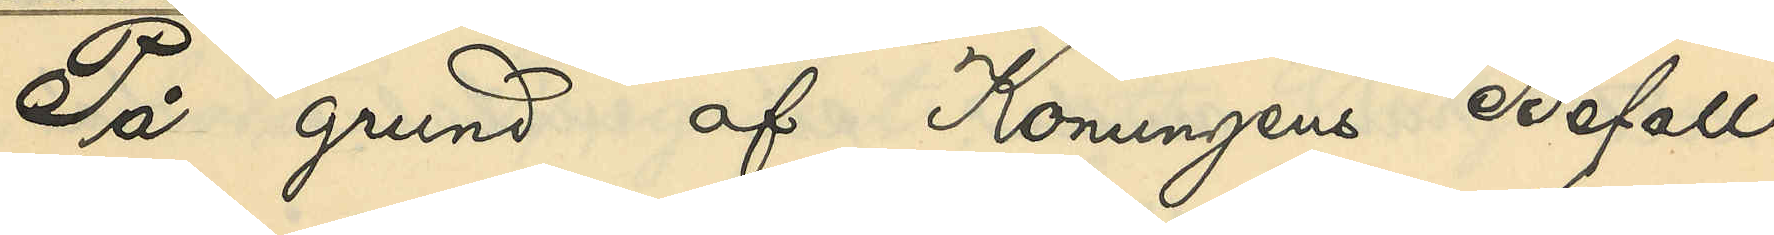På grund af Konungens Befall¬
